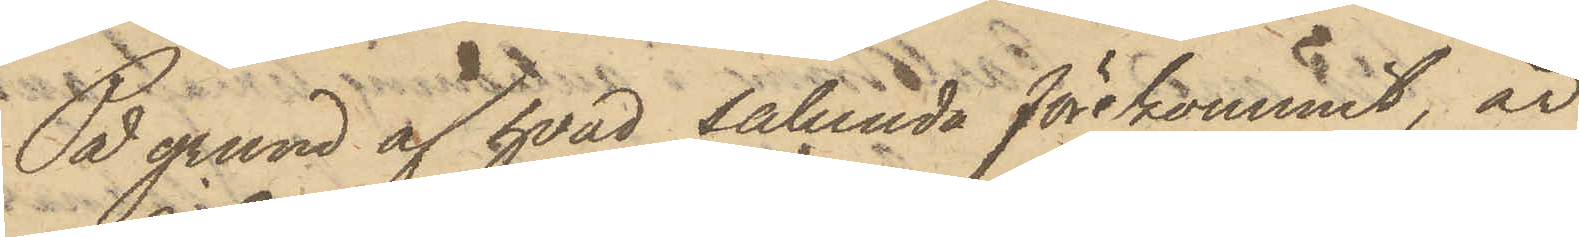På grund af hvad sålunda förekommit, är
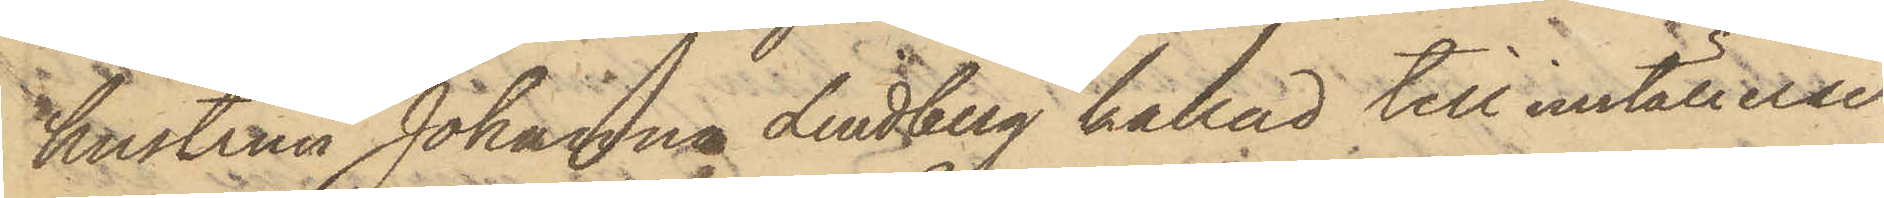hustrun Johanna Lindberg kallad till inställelse
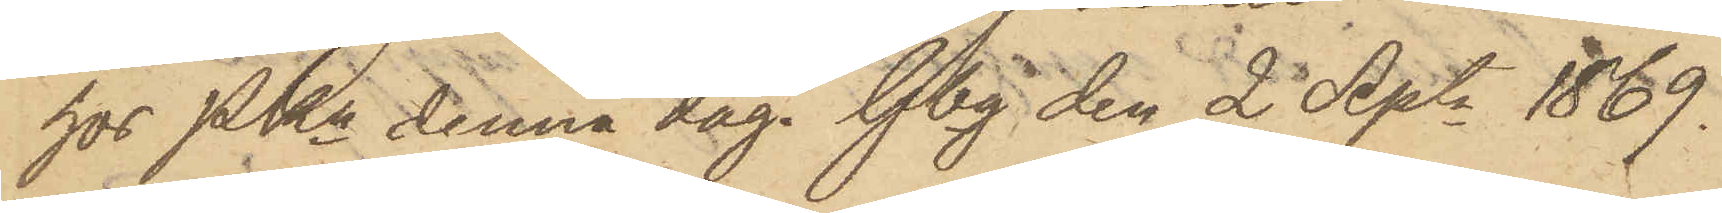hos PKn denna dag. Gbg den 2 Septr 1869.
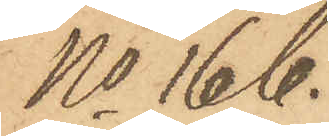No 166.
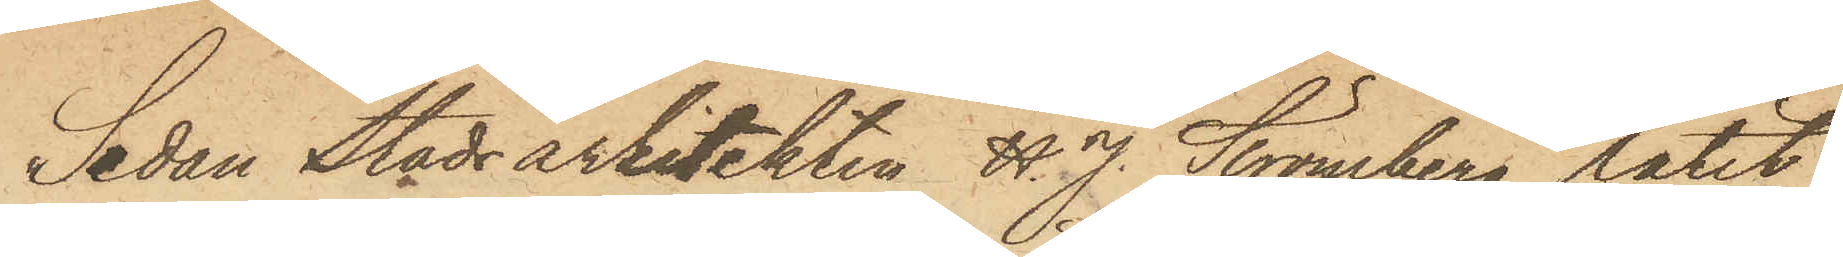Sedan Stadsarkitekten H J. Strömberg låtit
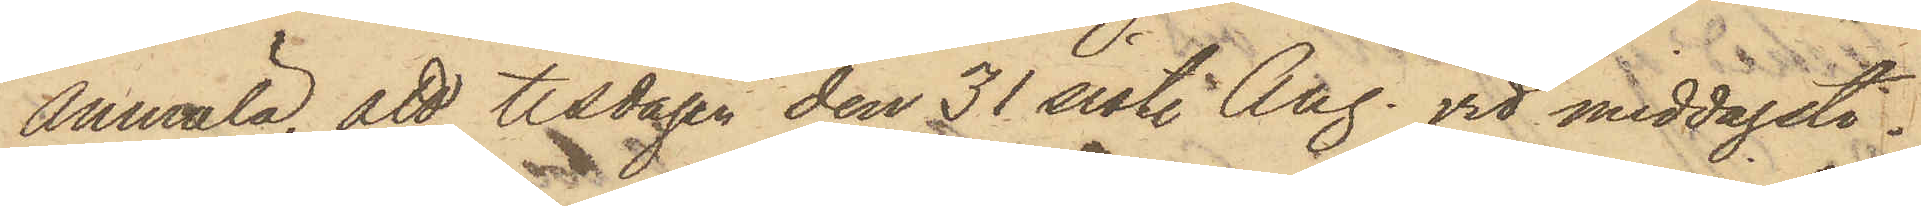anmäla, att tisdagen den 31 sist. Aug. vid middagsti¬
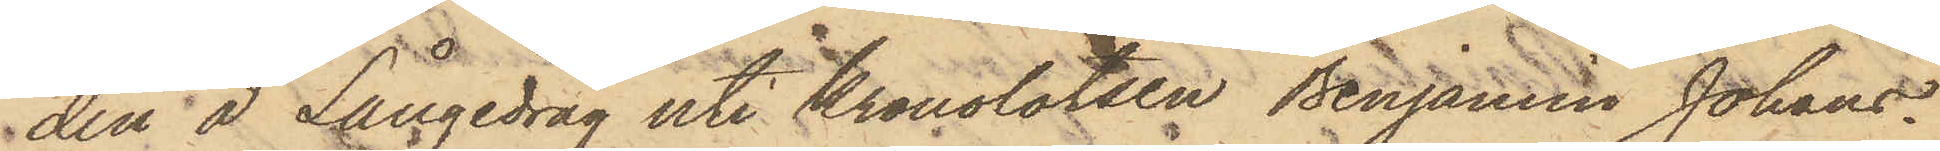den å Långedrag uti Kronolotsen Benjamin Johans¬
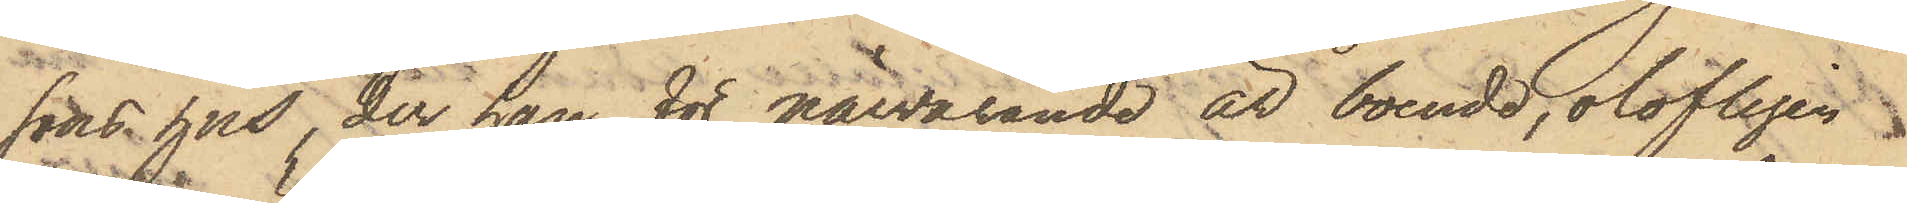sons hus, der han för närvarande är boende, olofligen
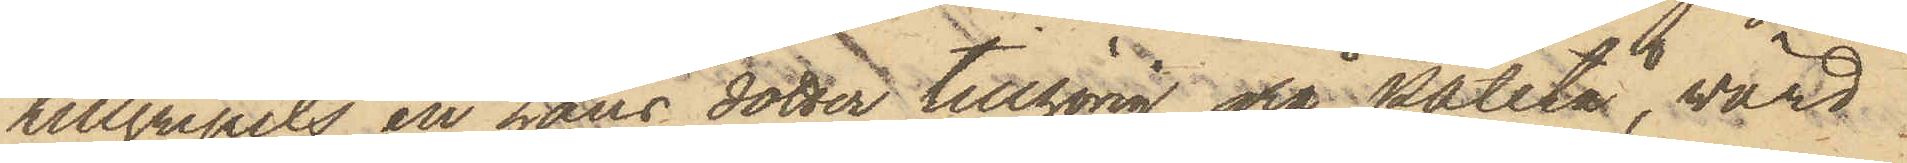tillgripits en hans dotter tillhörig grå patetå, wärd
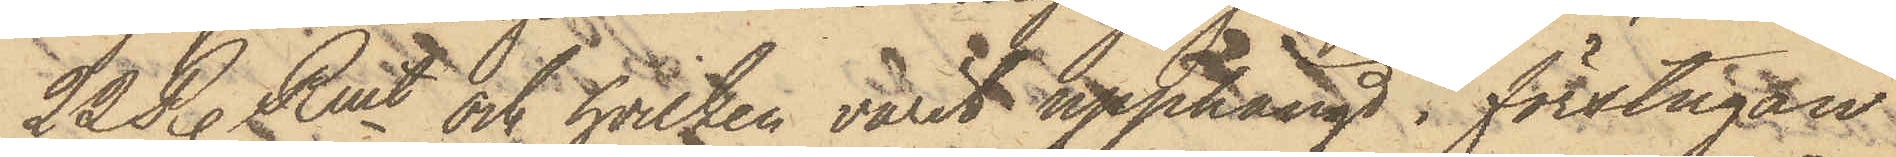22 R. Rmt och hvilken varit upphängd i förstugan
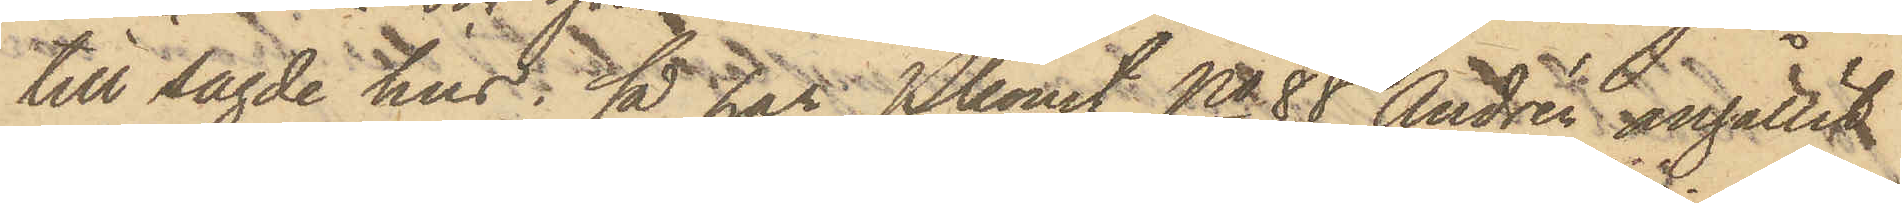till sagde hus; så har Pkonst No 88 Andrén anhållit
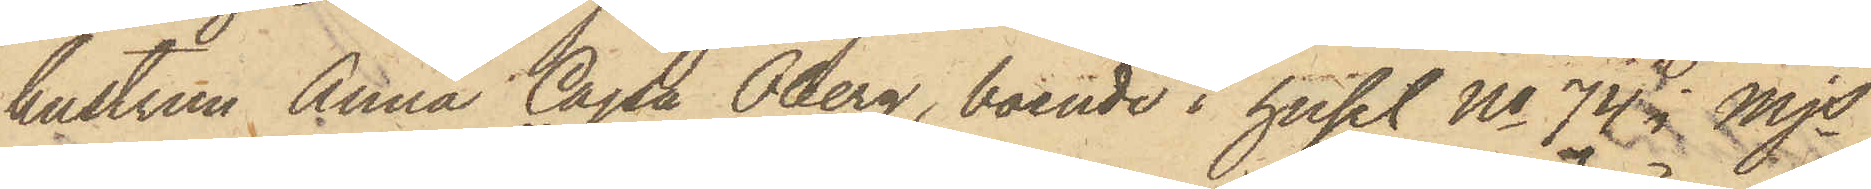hustrun Anna Cajsa Öberg, boende i huset No 74 i Mjs
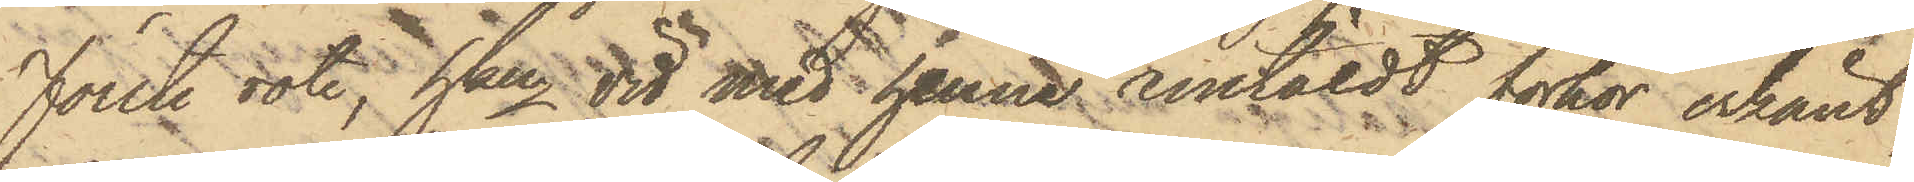Förste rote, hkn vid med henne anstäldt förhör erkänt,
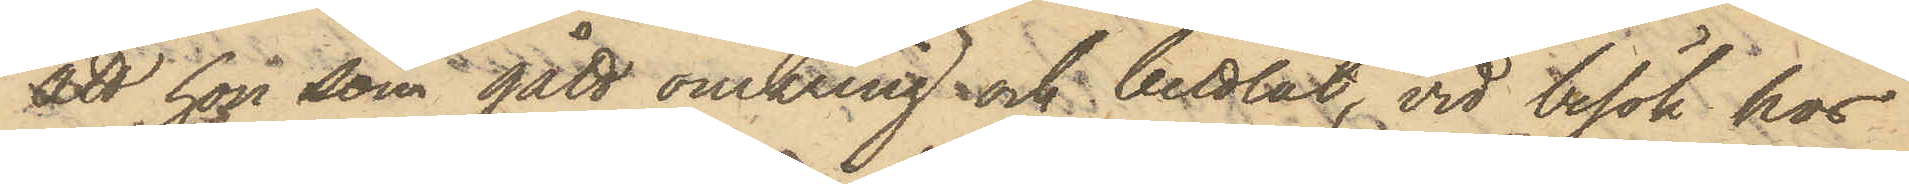att hon som gått omkring och bettlat, vid besök hos
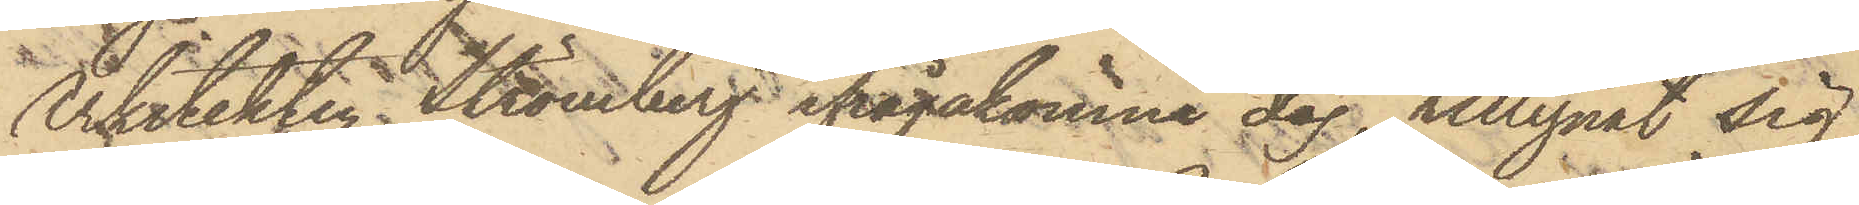Arkitekten Strömberg ifrågakomne dag, tillegnat sig
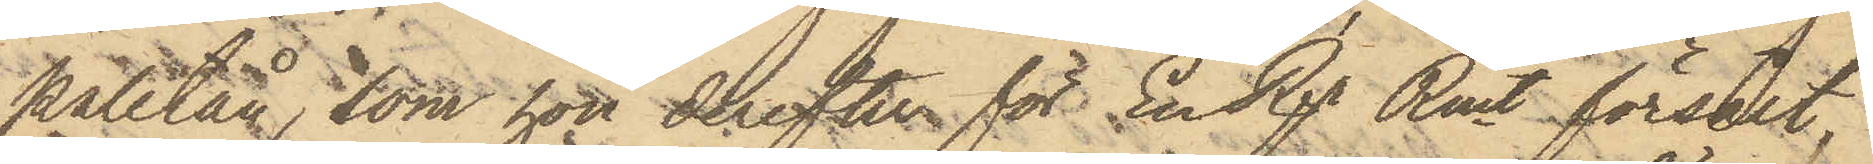paletån, som hon derefter för En Rgr Rmt försålt,
